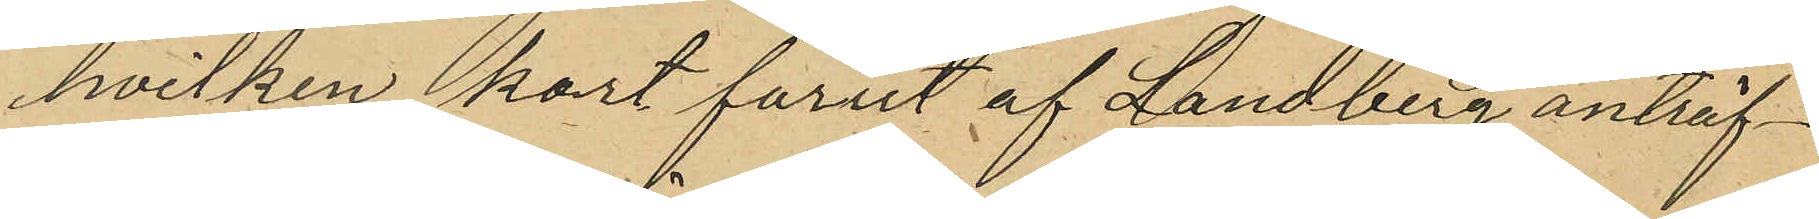hvilken kort förut af Landberg anträf¬
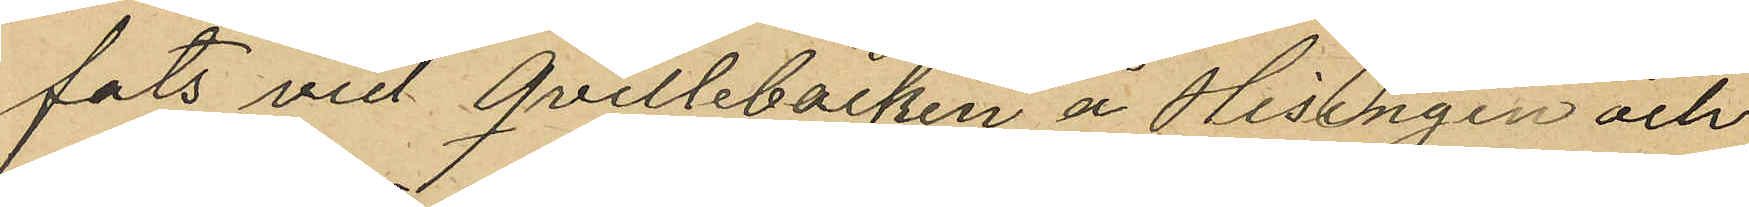fats vid Qvillebäcken å Hisingen och
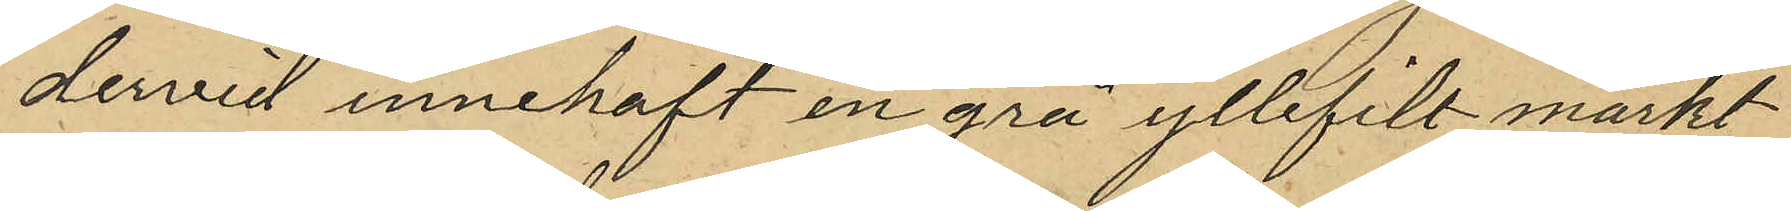dervid innehaft en grå yllefilt märkt
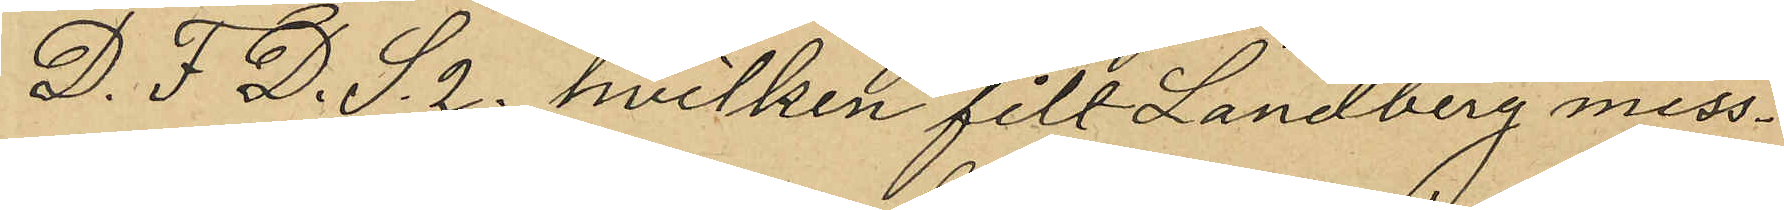D. F. D. S. 2. hvilken fill Landberg miss¬
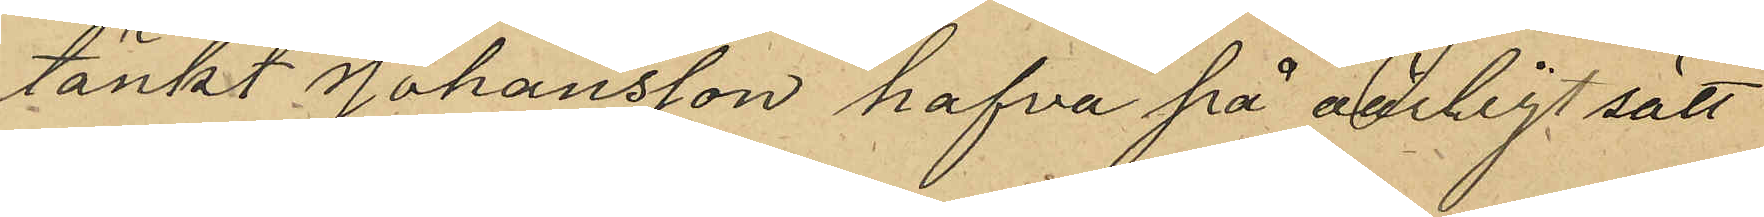tänkt Johansson hafva på oärligt sätt
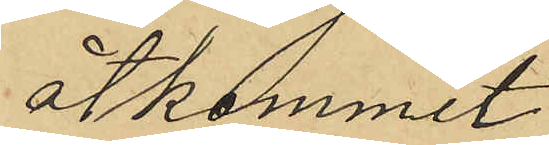åtkommit
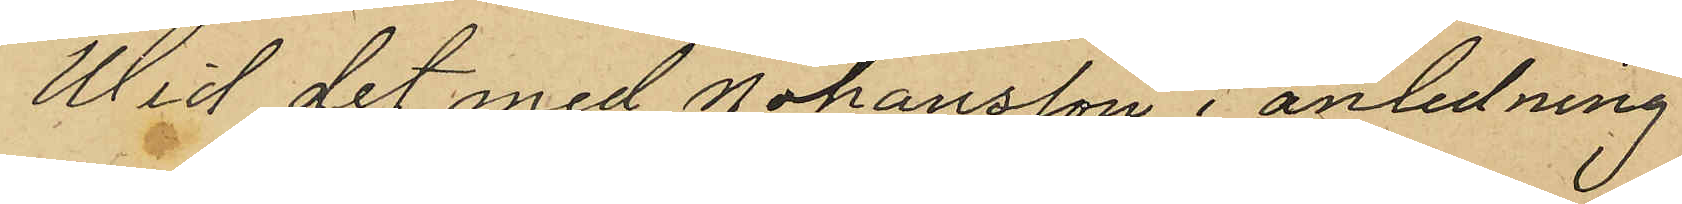Wid det med Johansson i anledning
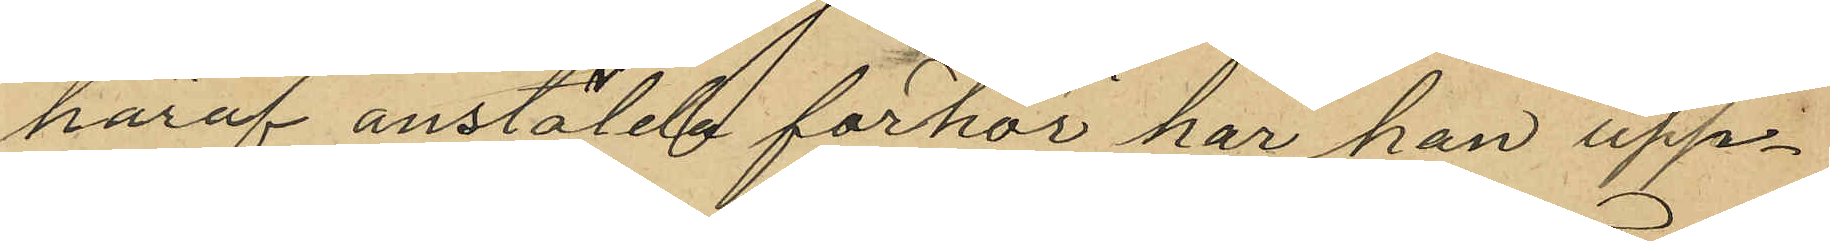häraf anstälde förhör har han upp¬
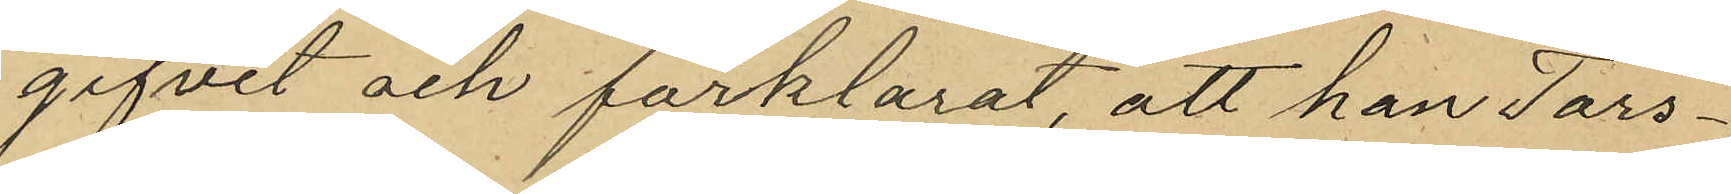gifvet och förklarat, att han Tors¬
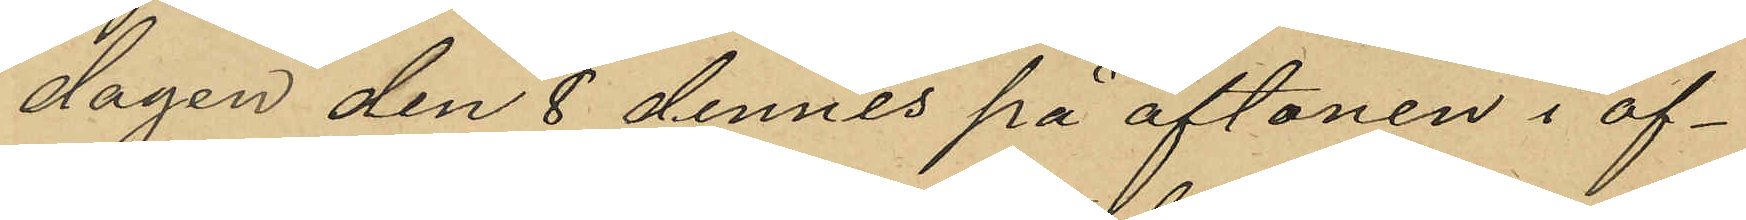dagen den 8 dennes på aftonen i af¬
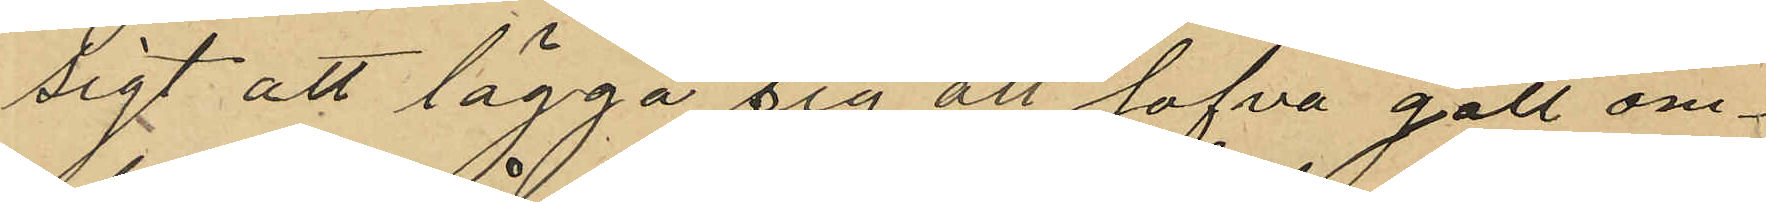sigt att lägga sig att sofva gått om¬
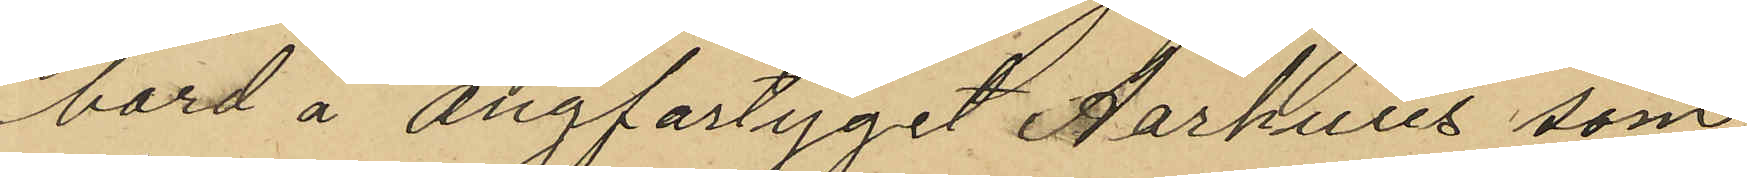bord å ångfartyget Åarhuus som
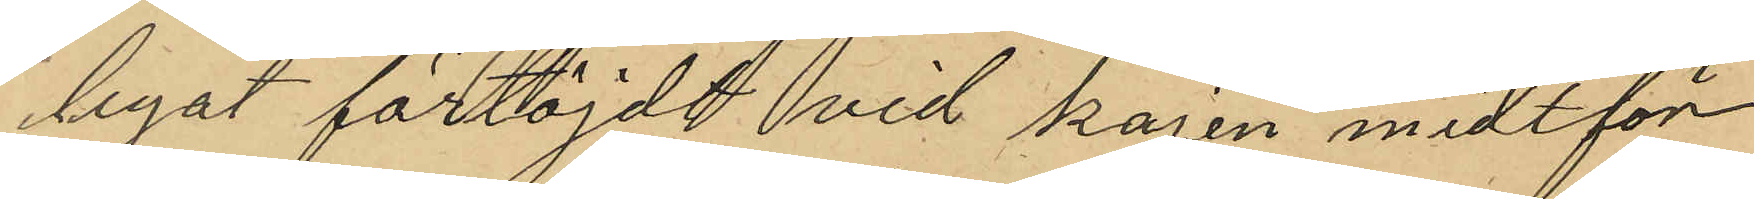legat förtöjdt vid kajen midtför
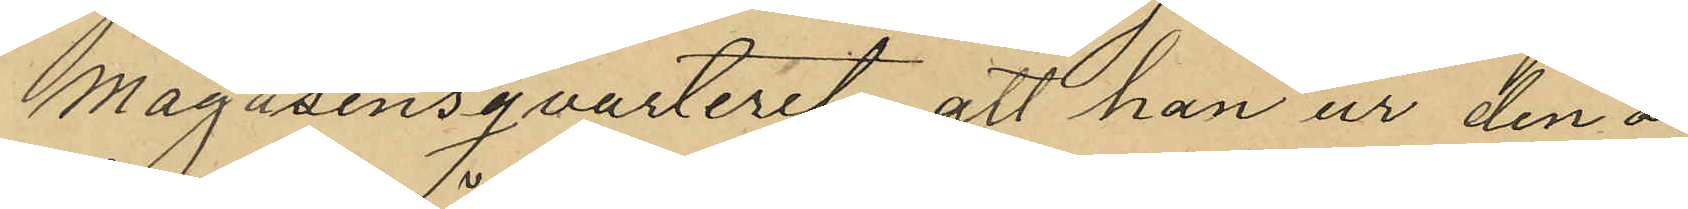Magasinsqvarteret, att han ur den o¬
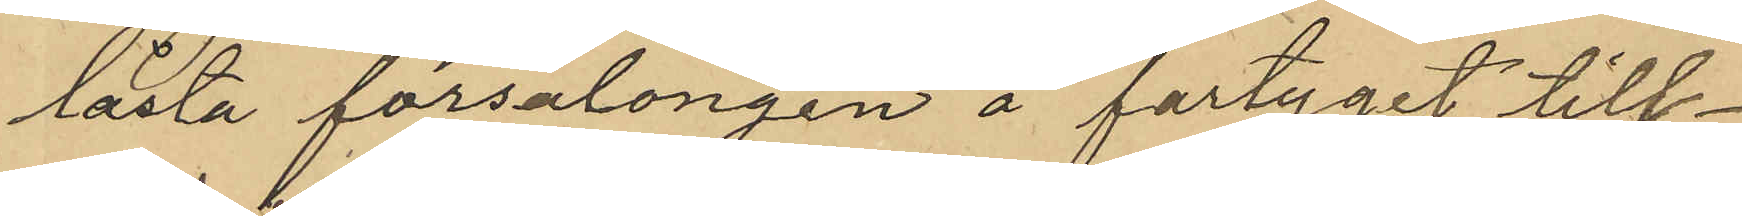låsta försalongen å fartyget till¬
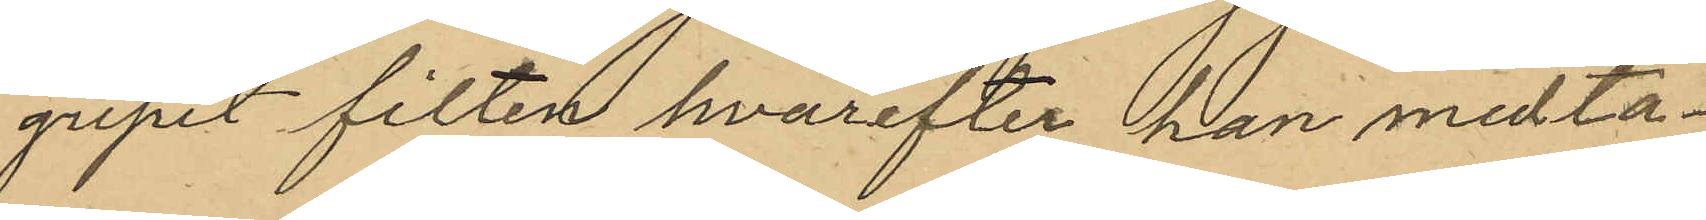gripit filten, hvarefter han medta¬
